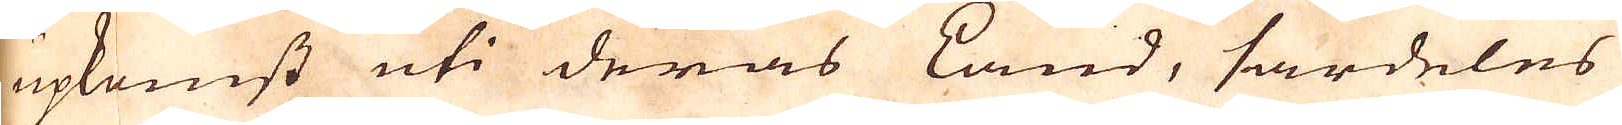upkomst uti deras Land, särdeles
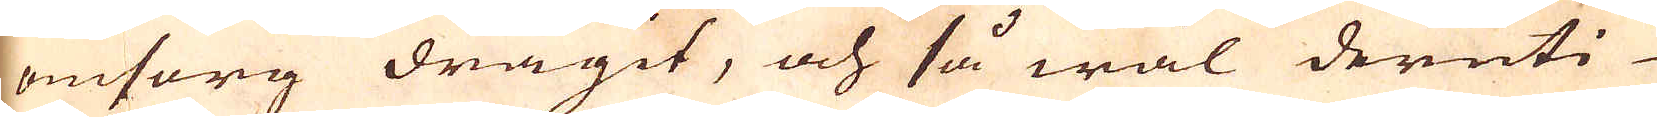omsorg dragit, och så wäl deruti
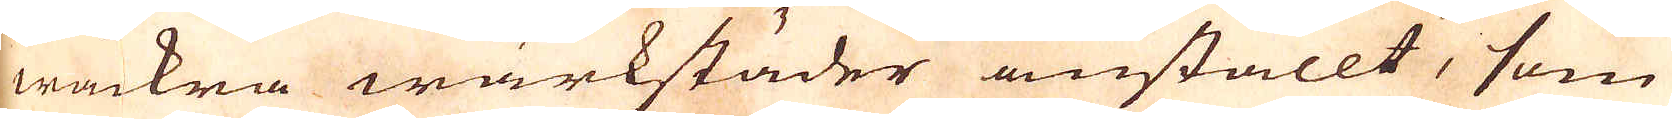wackra wärkstäder anställt, som
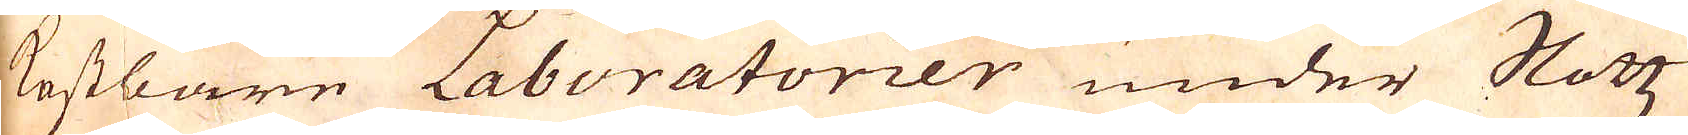kostbare Laboratorier under Slotz
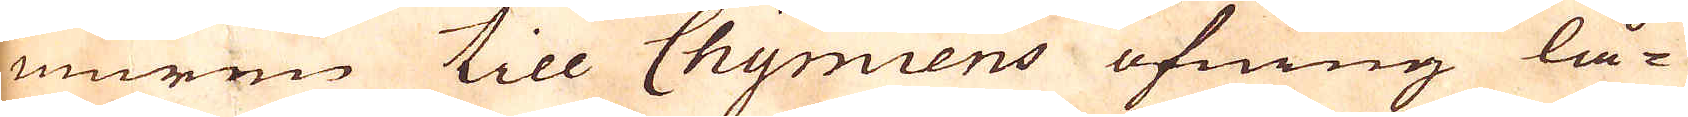muren till Chymiens öfning lå-
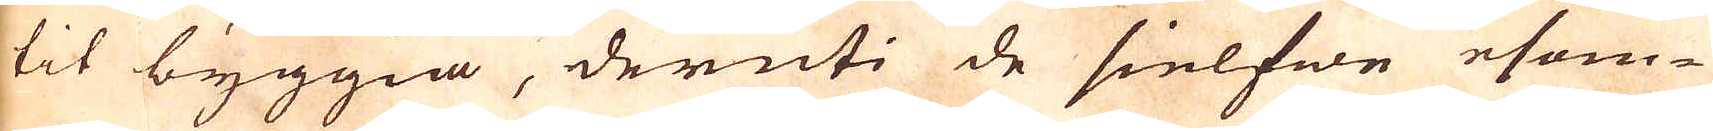tit byggia, deruti de sielfwe esom-
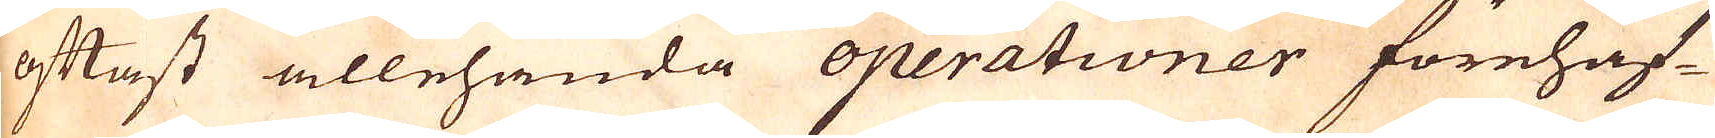oftast allehanda operationer förehaf-
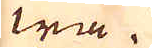wa.
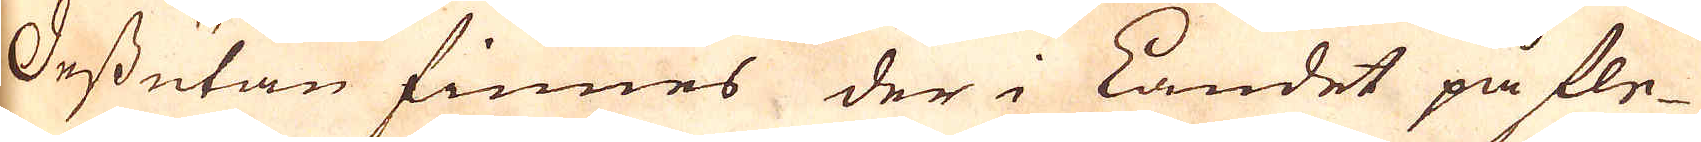Dessutan finnes der i Landet på fle-
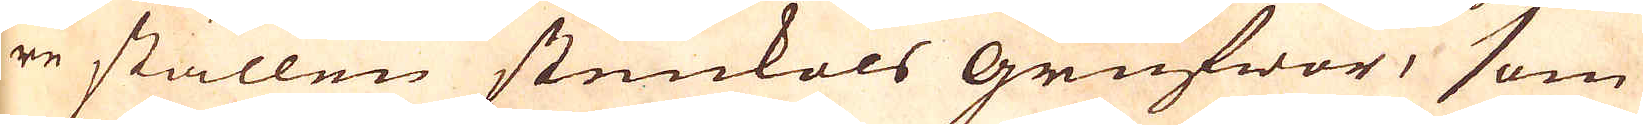re ställen stenkols grufwor, som
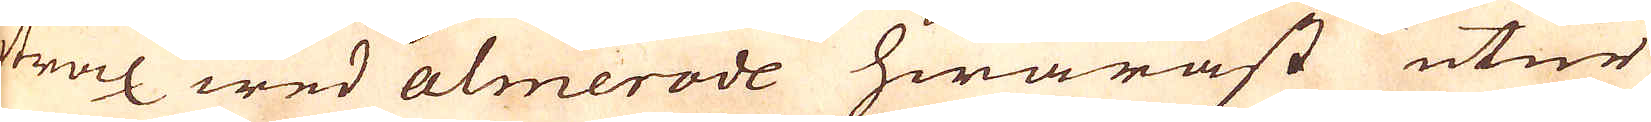straxt wed Almerode hwaräst utur
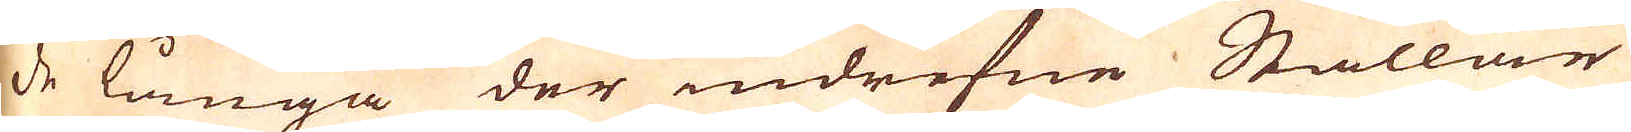de långa der indrefne Stållar
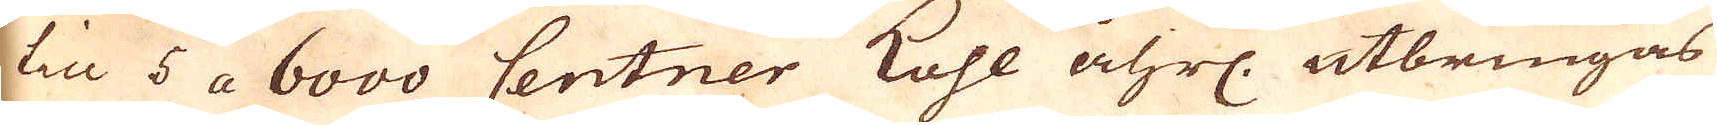til 5 a 6000 Centner Kohl åhrl. utbringas
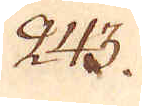243.
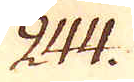244.
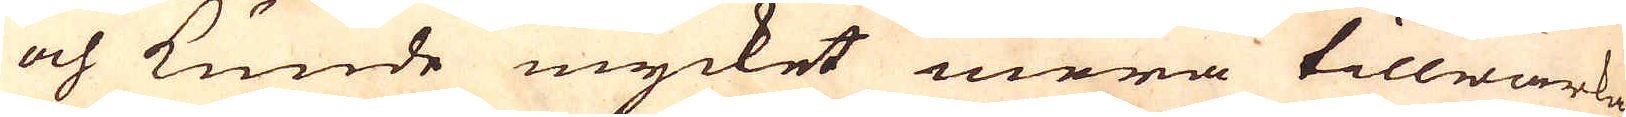och kunde mycket mera tillwärkas
